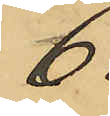6
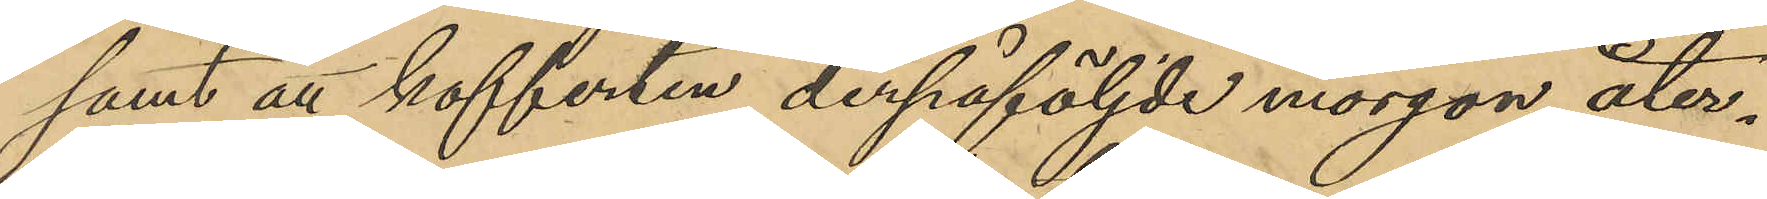samt att kofferten derpåföljde morgon åter¬
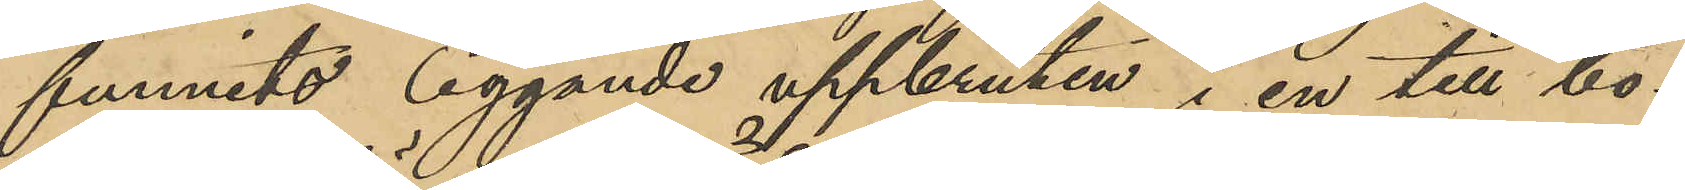funnits liggande uppbruten i en till bo¬
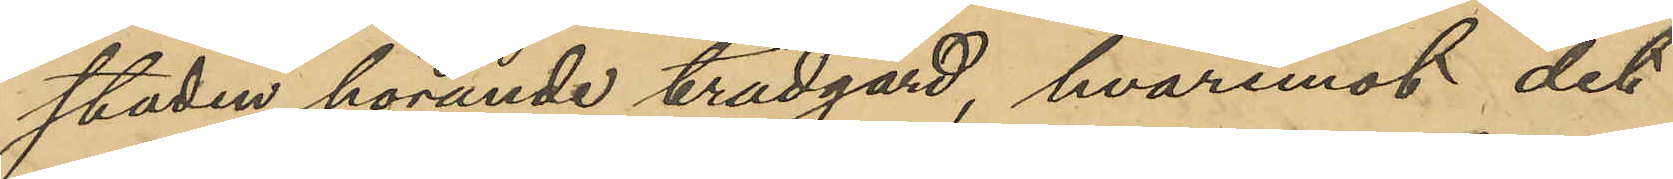staden hörande trädgård, hvaremot det
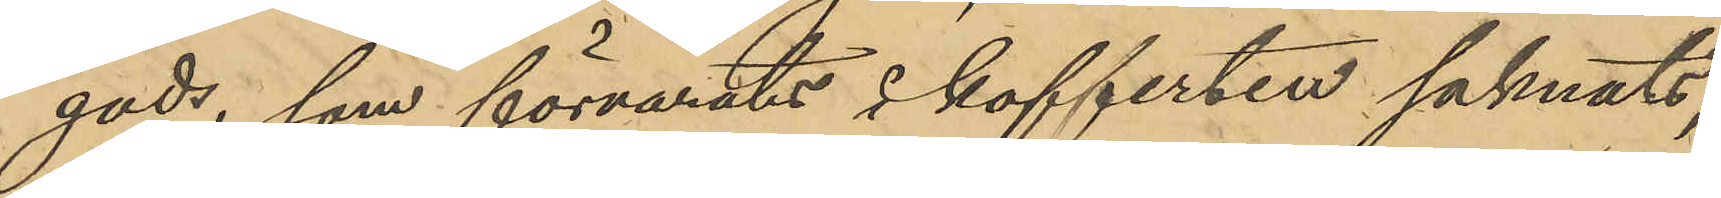gods, som förvarats i kofferten saknats;
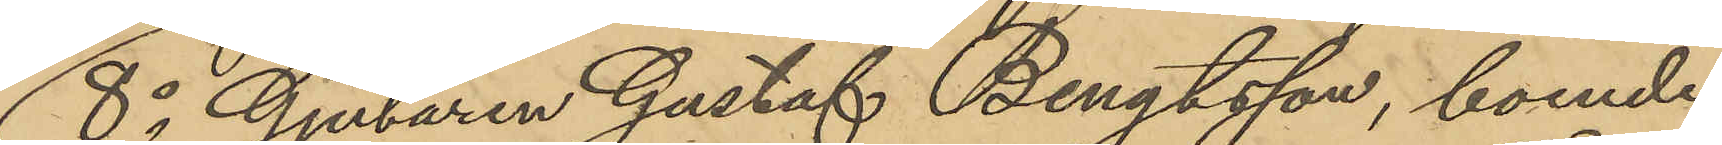8o Gjutaren Gustaf Bengtsson, boende
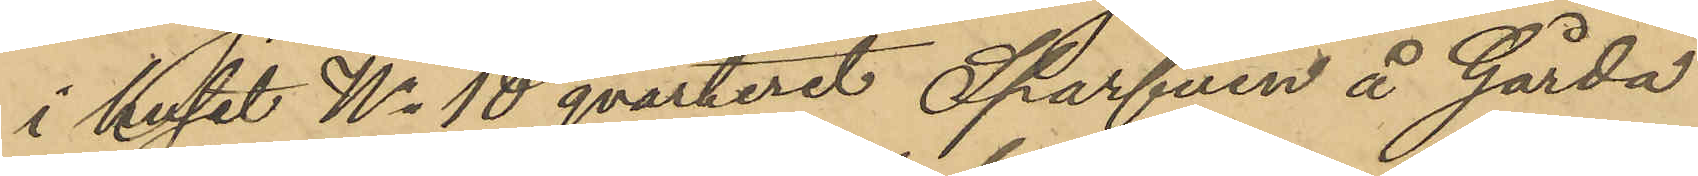i huset No 18 qvarteret Sparfven å Gårda
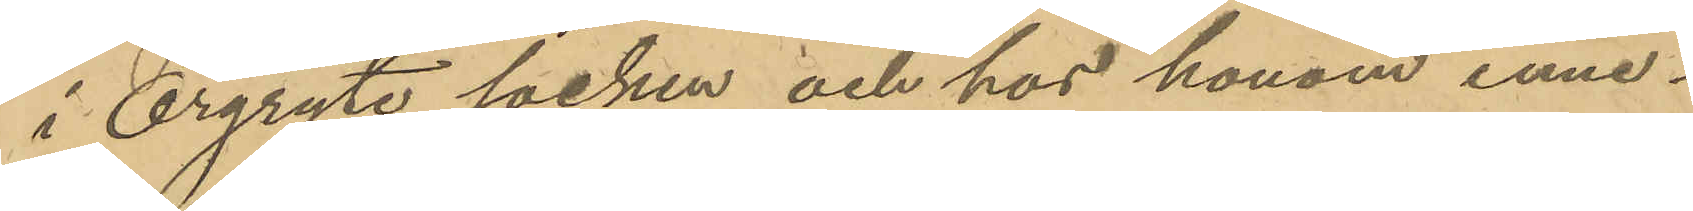i Örgryte socken och hos honom inne¬
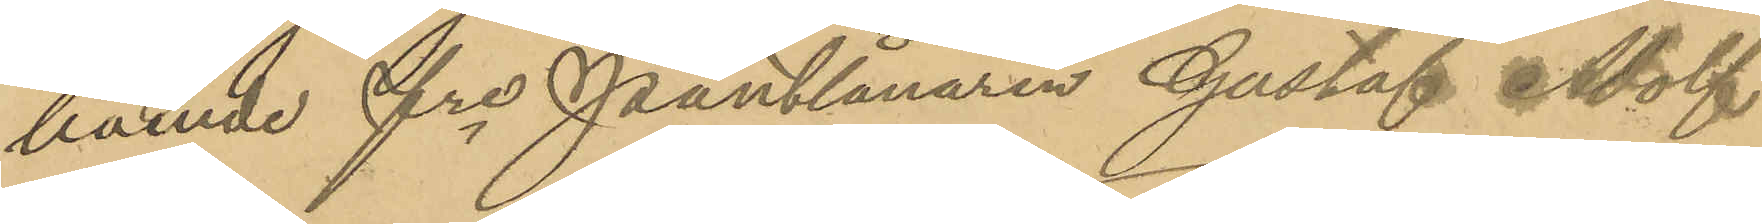boende fre Pantlånaren Gustaf Adolf
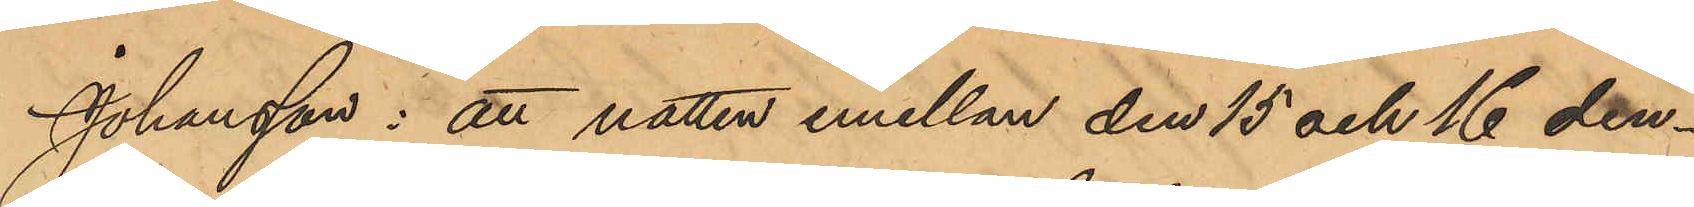Johansson: att natten emellan den 15 och 16 den¬
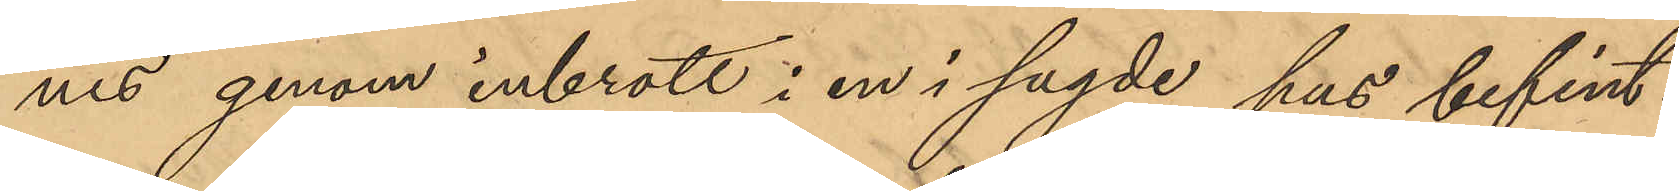nes genom inbrott i en i sagde hus befint¬
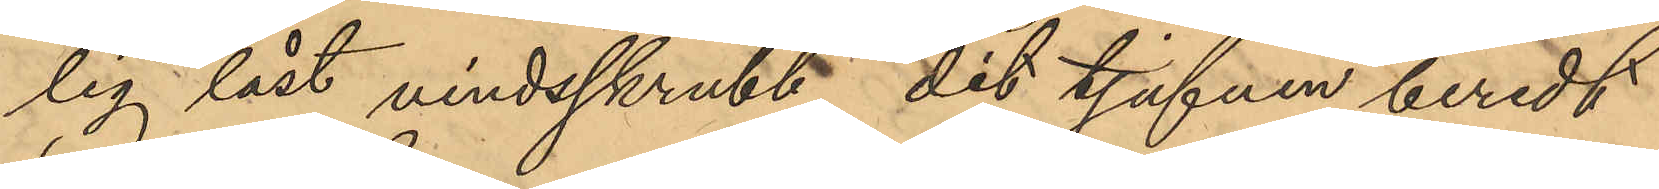lig låst vindsskrubb, dit tjufven beredt
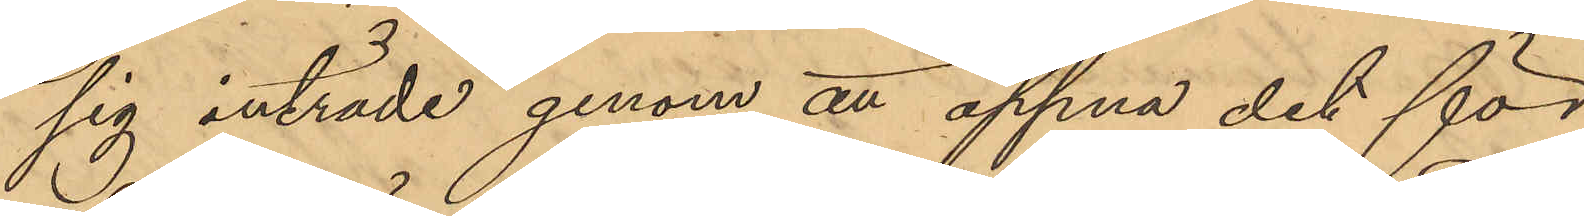sig inträde genom att öppna det för
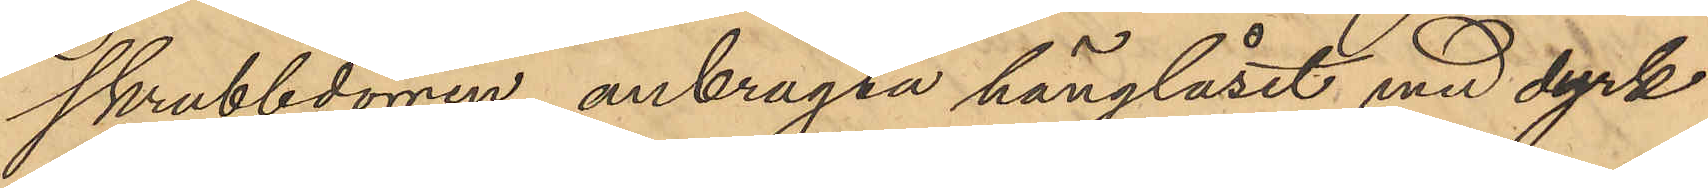skrubbdörren anbragta hänglåset med dyrk
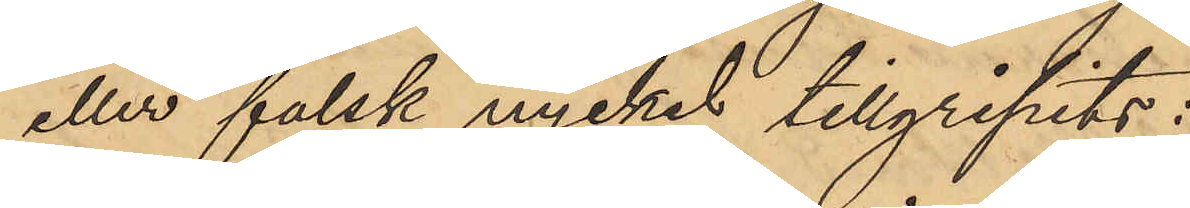eller falsk nyckel tillgripits:
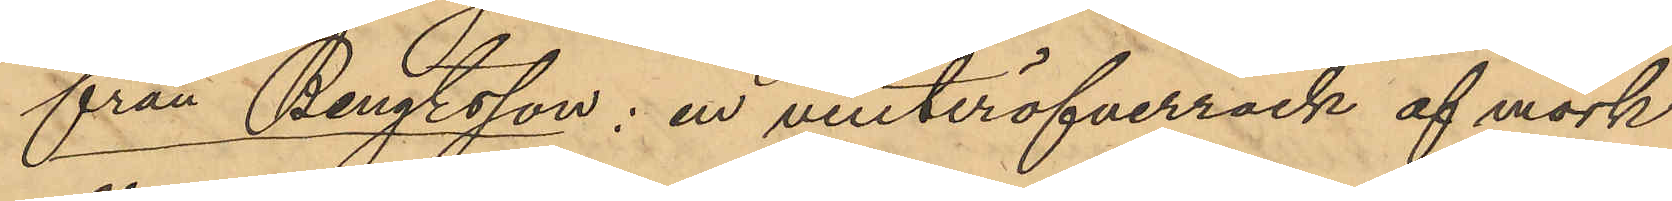från Bengtsson: en vinteröfverrock af mörk
